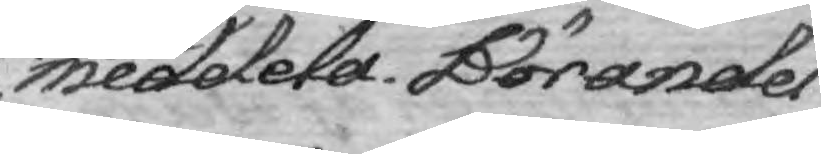meddela. Börandes
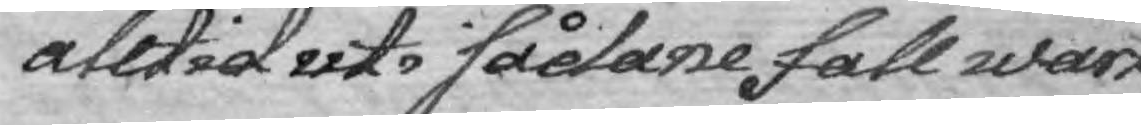alltid uti sådane fall wårt
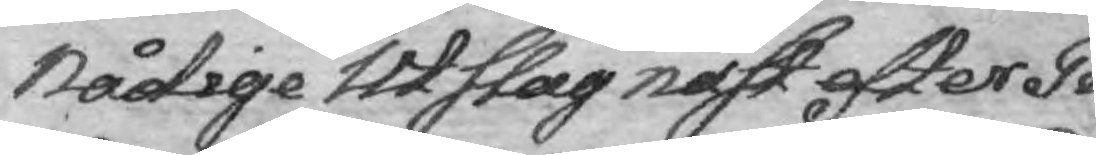Nådige Utslag näst efter Ti¬
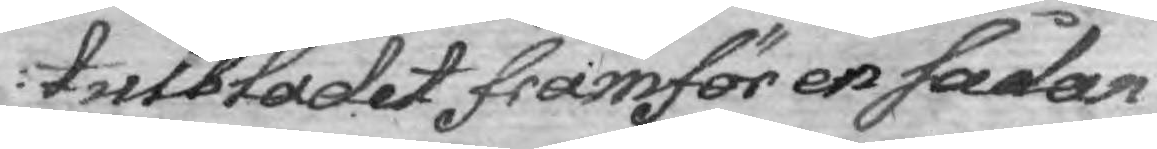tulbladet framför en sådan
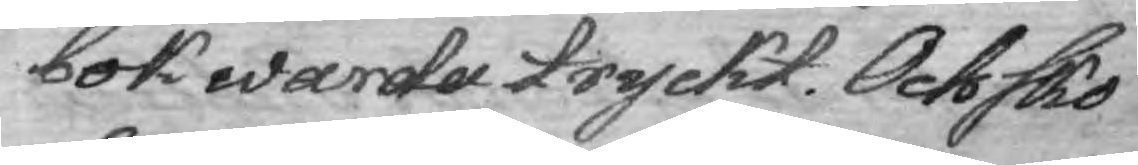bok warda tryckt. Och sko¬
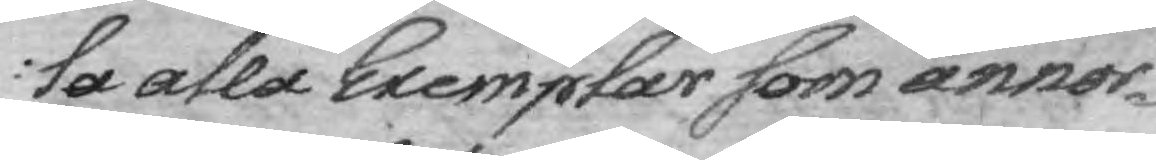la alla Exemplar som annor¬
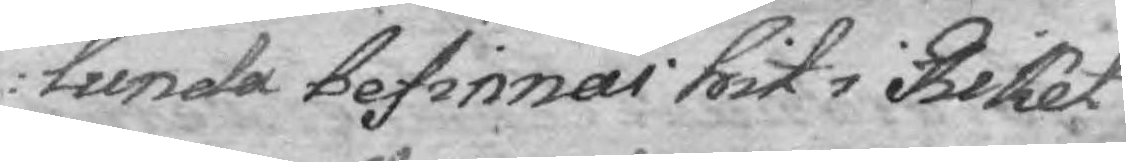lunda befinnas hit i Riket
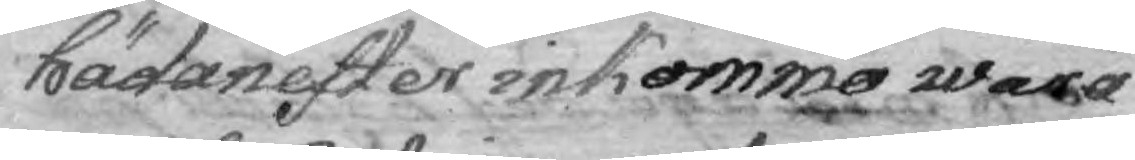hädanefter inkommo wara
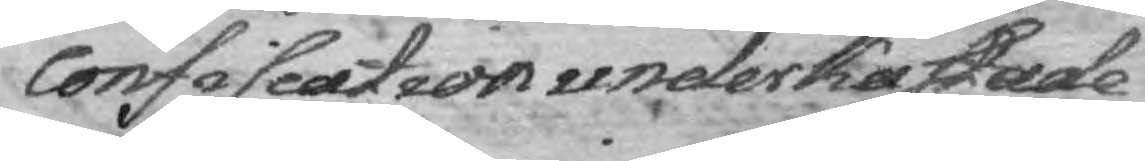confiscation underkastade
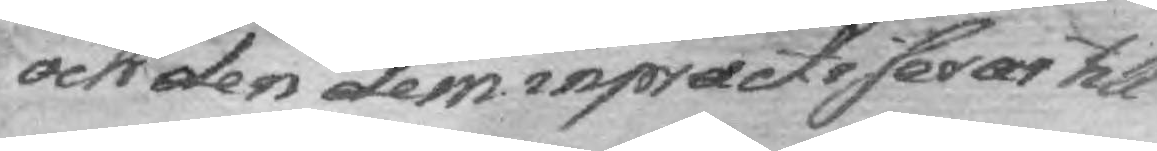och den dem inpractisera till
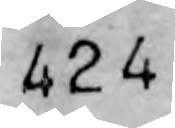424
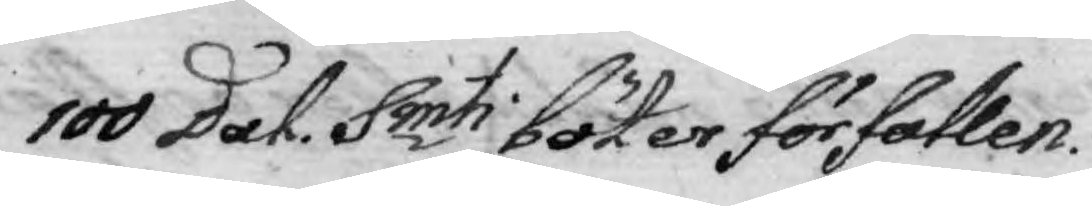100 Dal. Smti böter förfallen.
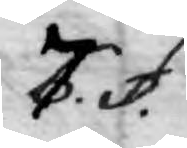7. §.
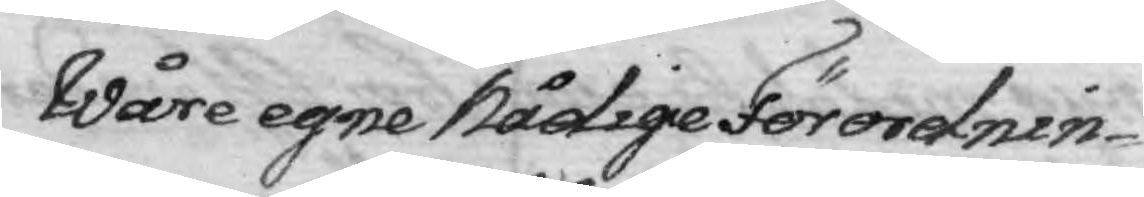Wåre egne Nådige Förordnin¬
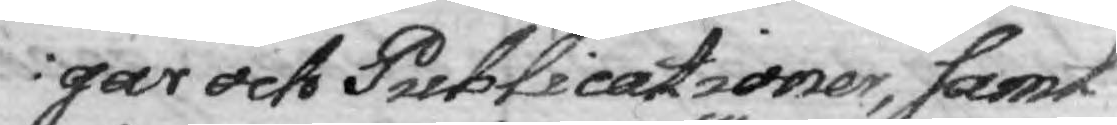gar och Publicationer, samt
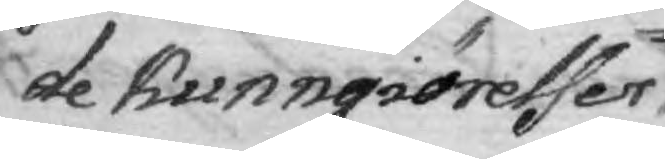de kunngiörelser
